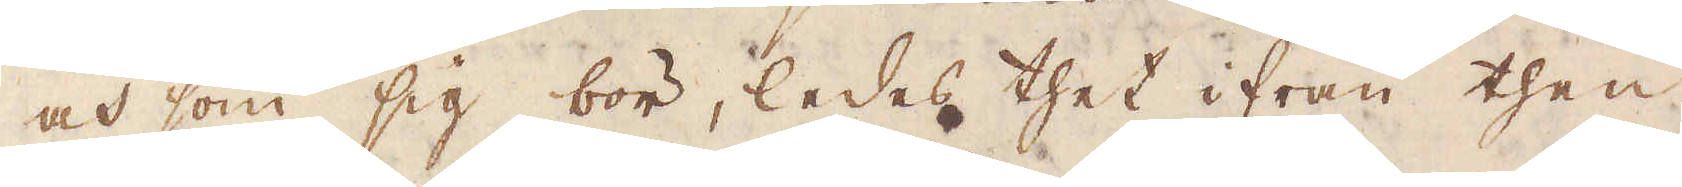och som sig bör, ledes thet ifrån then
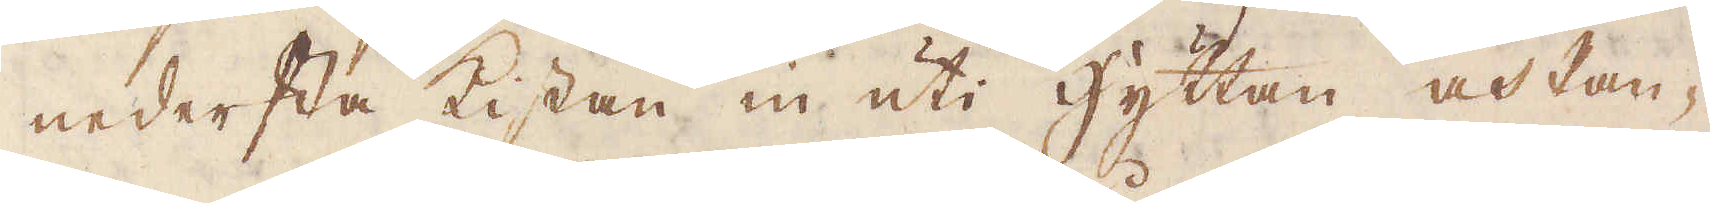nedersta kistan in uti hyttan och Pan-
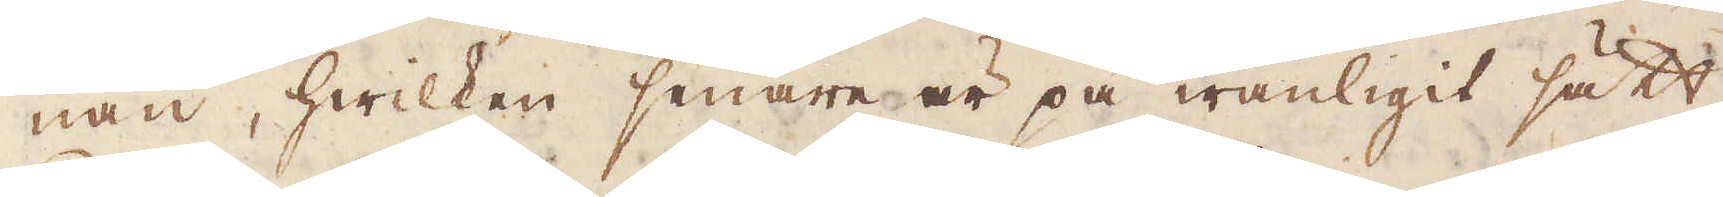nan, hwilken senare är på wanligit sätt
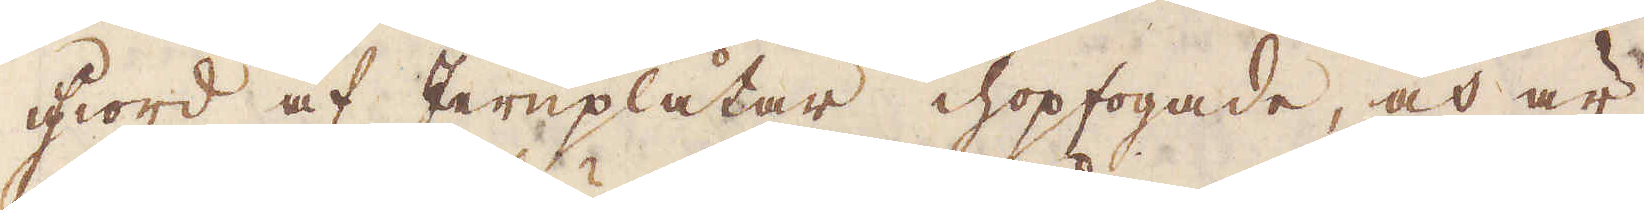giord af Jernplåtar ihopfogade, och är
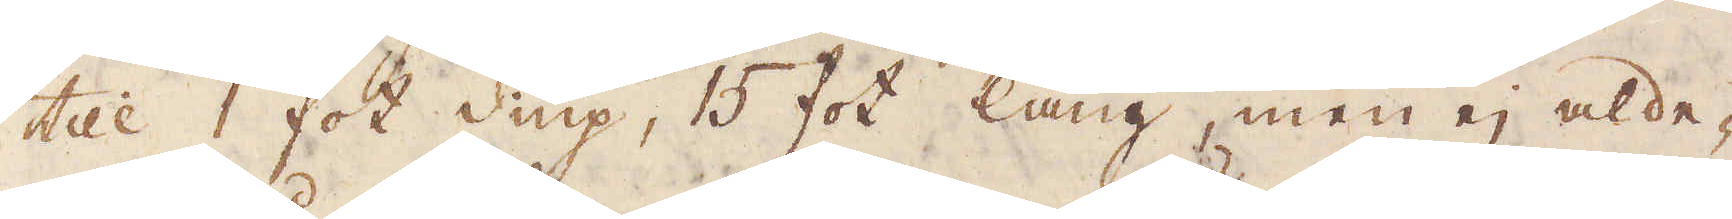till 1 fot diup, 15 fot lång, men ej alde-
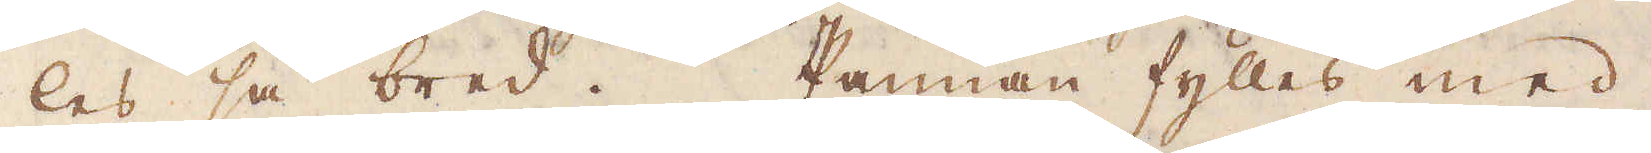les så bred. Pannan fylles med
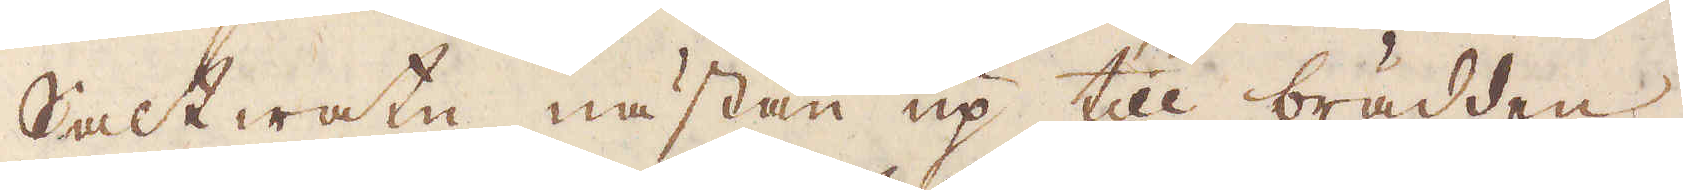Salt watn nästan up till brädden,
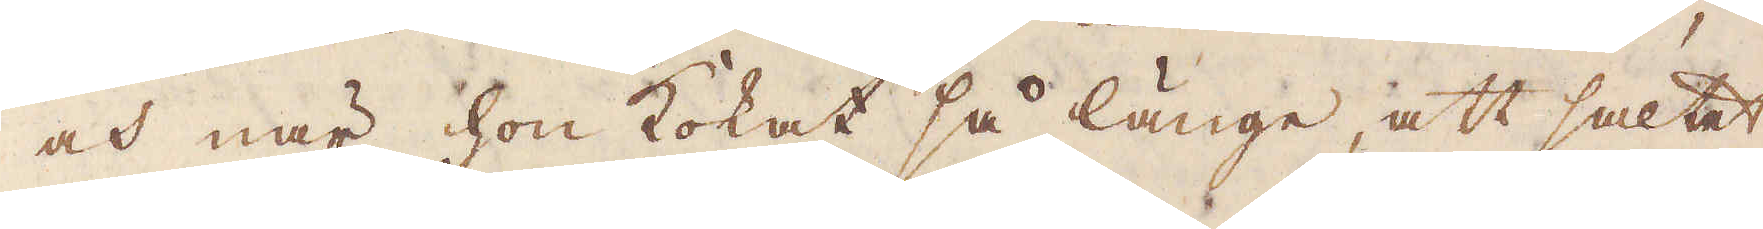och när hon kokat så länge, att saltet
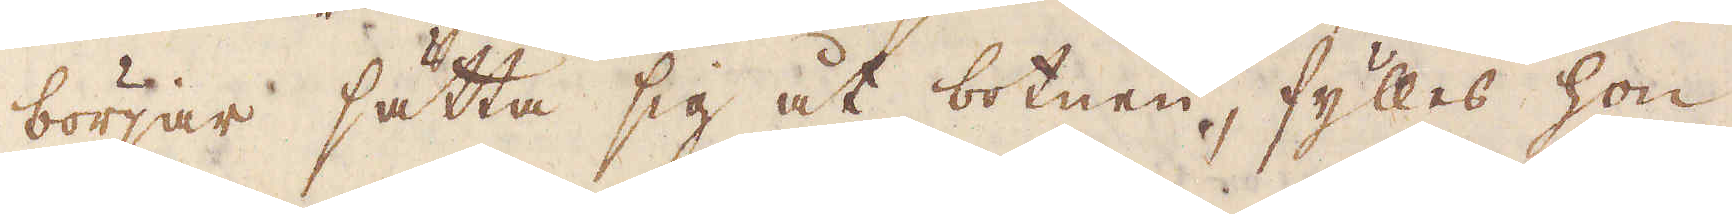börjar sätta sig åt botnen, fylles hon
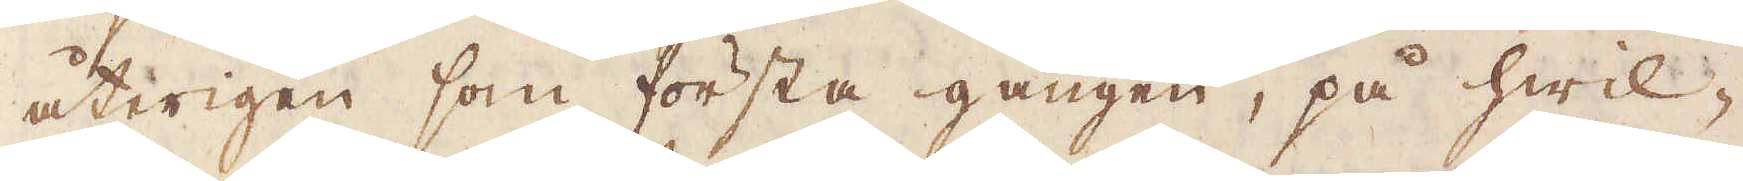återigen som första gången, på hwil-
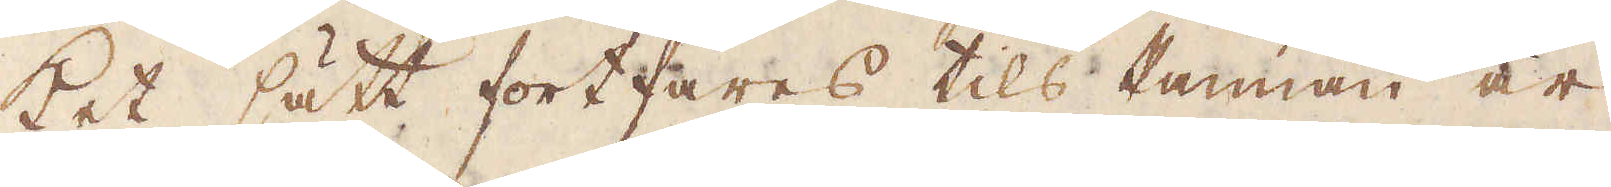ket sätt fortfares tils Pannan är
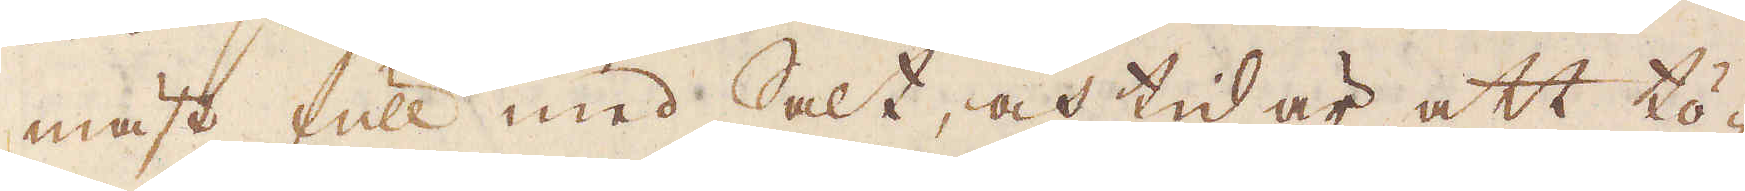mäst full med Salt, och tid är att tö-
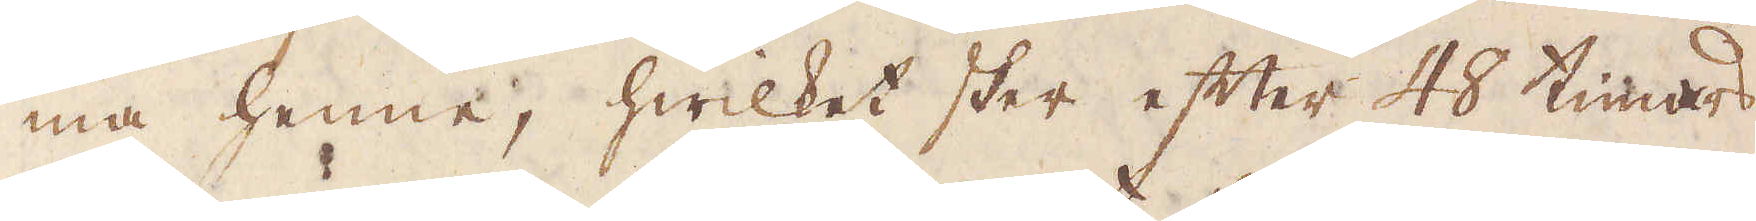ma henne, hwilket sker efter 48 timars
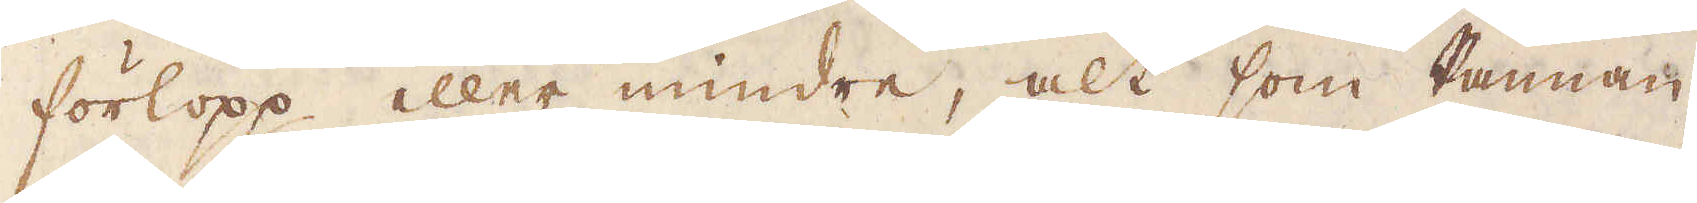förlopp eller mindre, alt som Pannan,
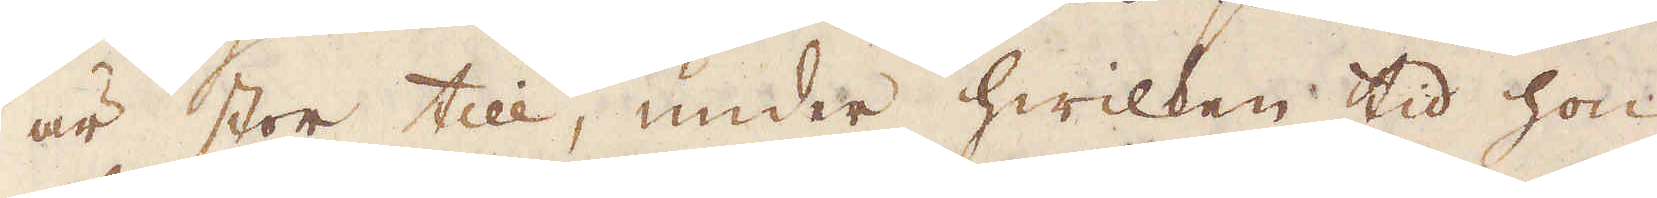är stor till, under hwilken tid hon
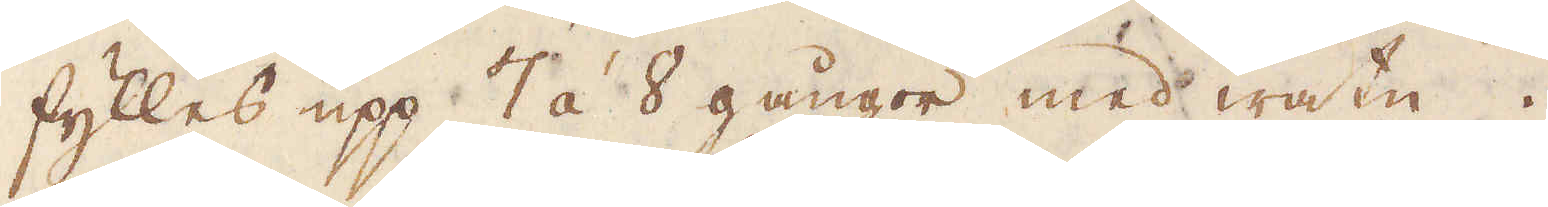fylles upp 7 á 8 gångor med watn.
